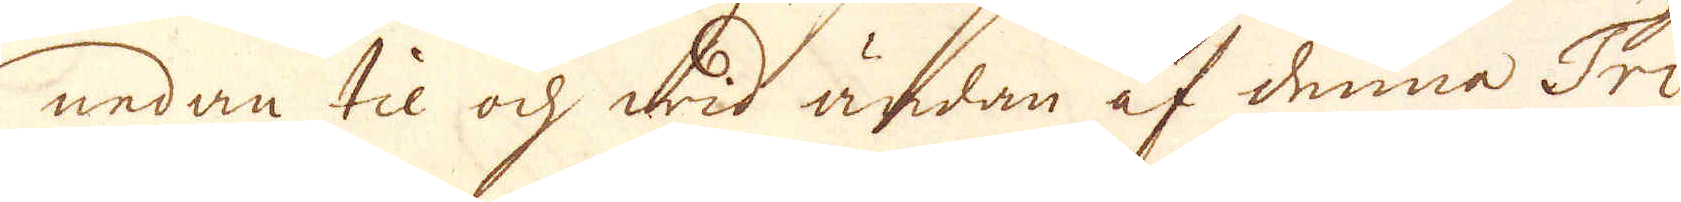nedan til och wid ändan af denna Tri-
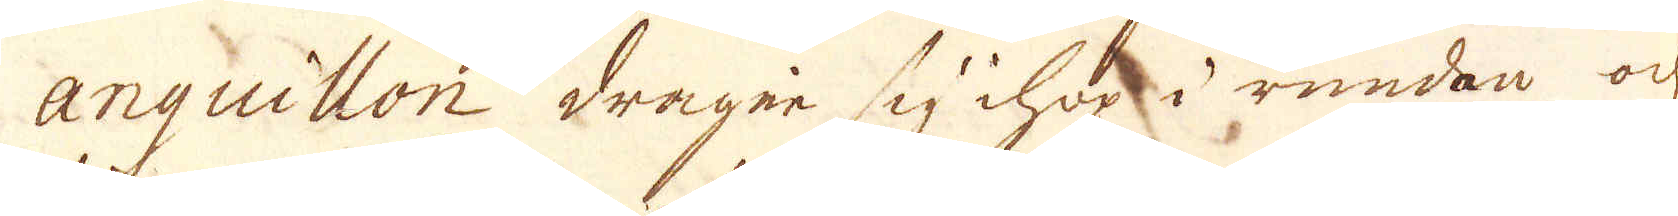anguillon drager sig ihop i rundan och
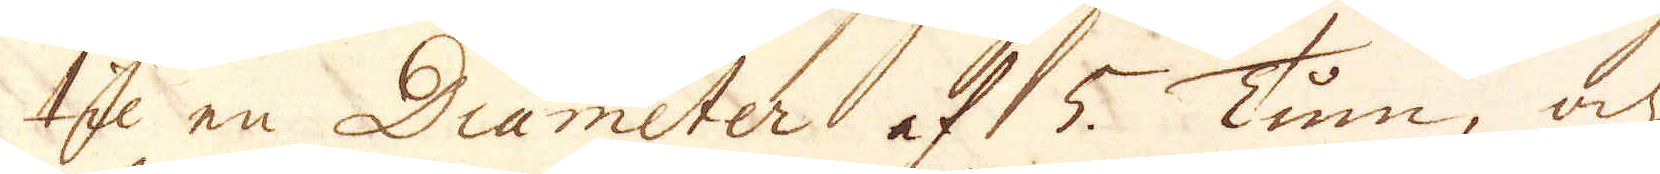til en Diameter af 5. Tum, och
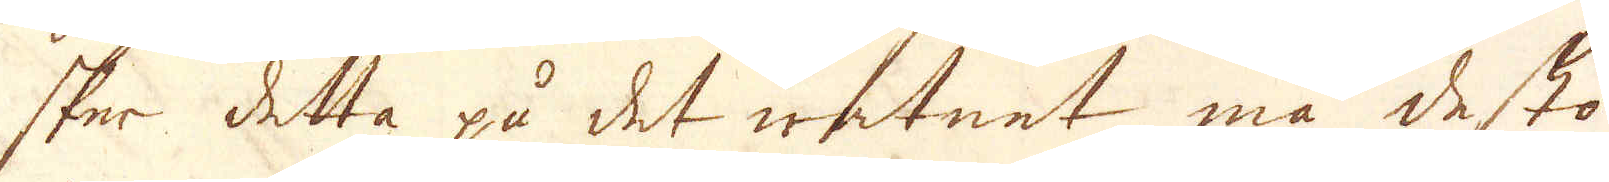sker detta på det watnet må desto
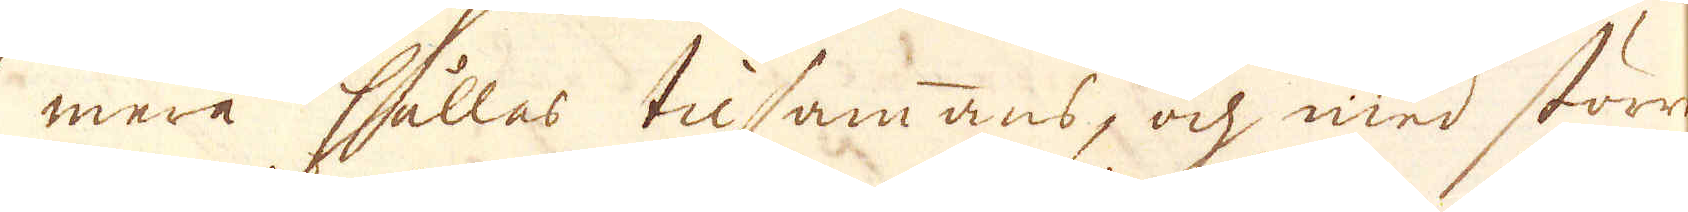mera hållas tilsammans, och med större
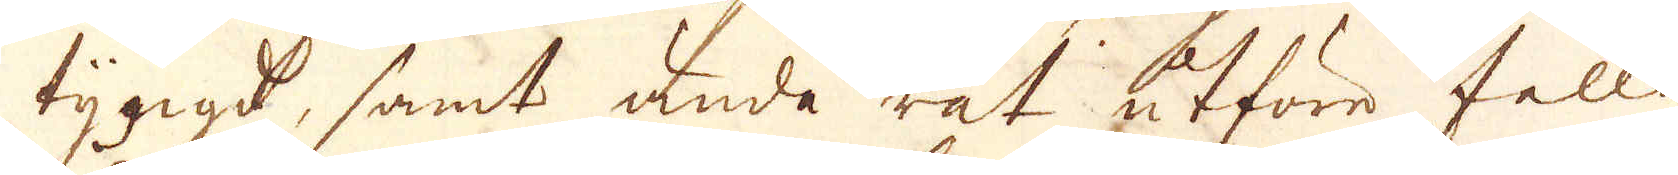tyngd, samt ända rät utföre falla
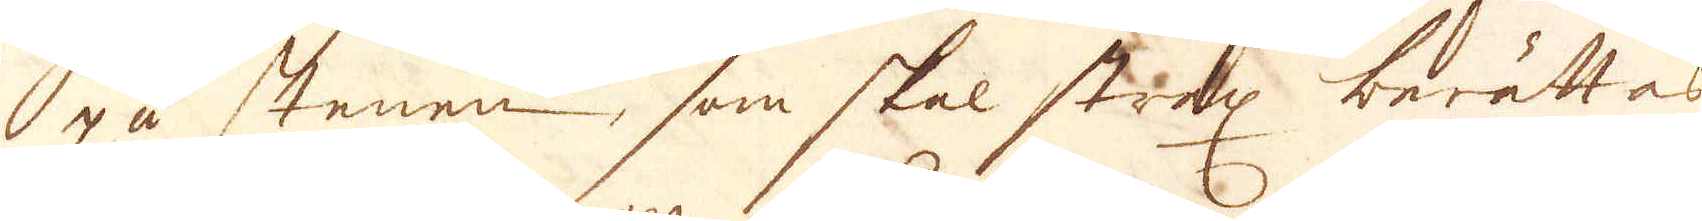på stenen, som skal strax berättas
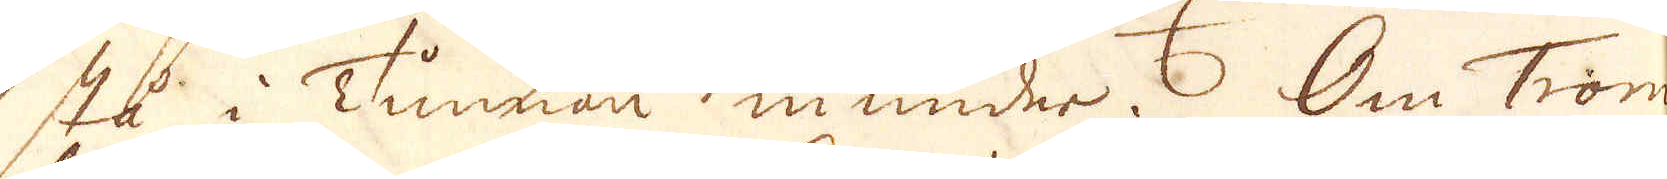stå i Tunnan in under. Om Trom-
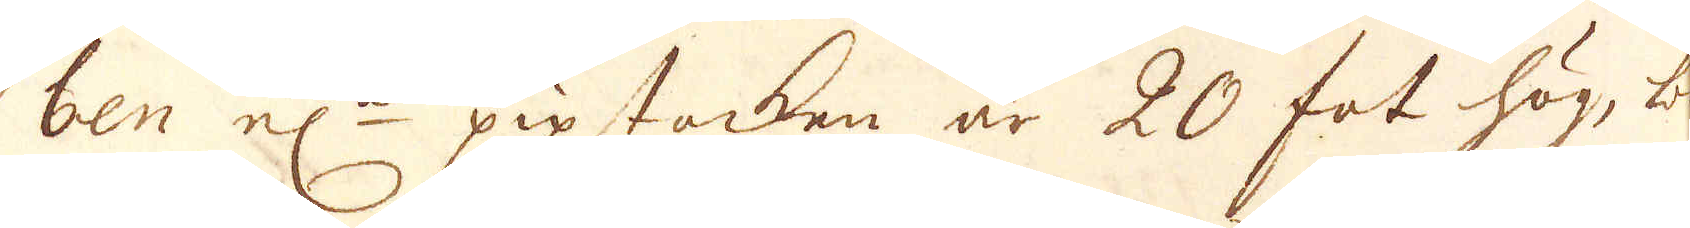ben el:n pipstocken är 20 fot hög, bör
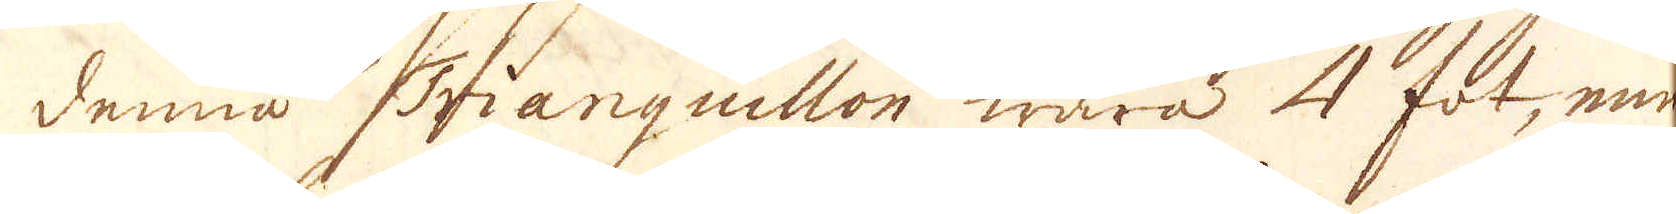denna Trianguillon wara 4 fot, men
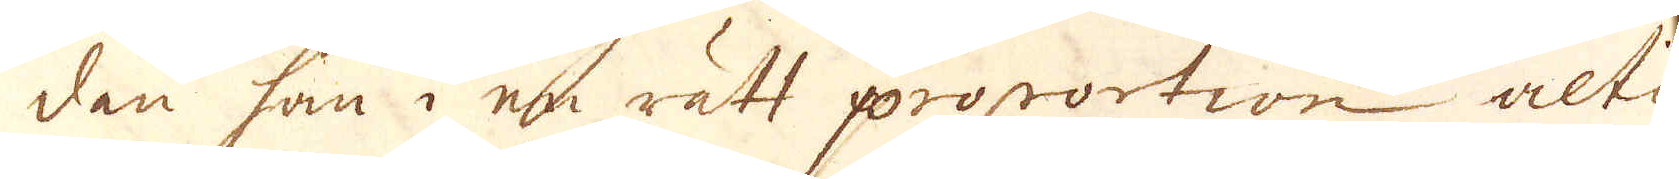den som i en rätt proportion altid
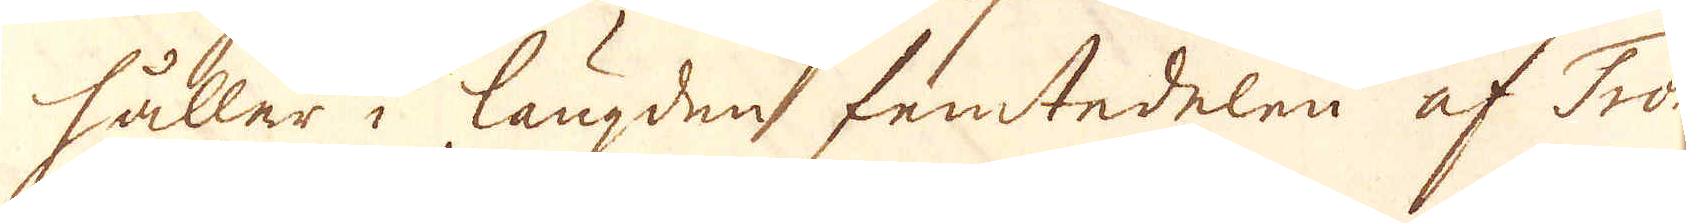håller i längden femtedelen af Trom-
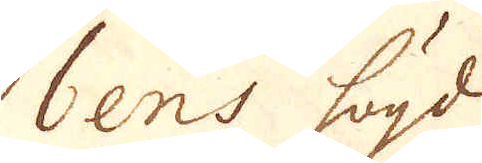bens högd
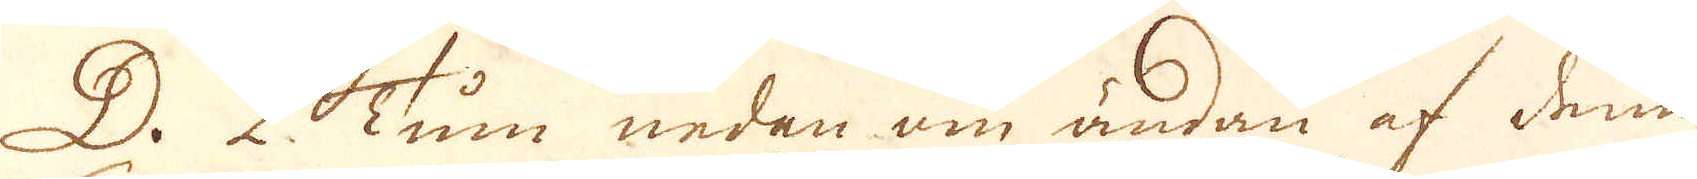D. 2 Tum nedan om ändan af denna
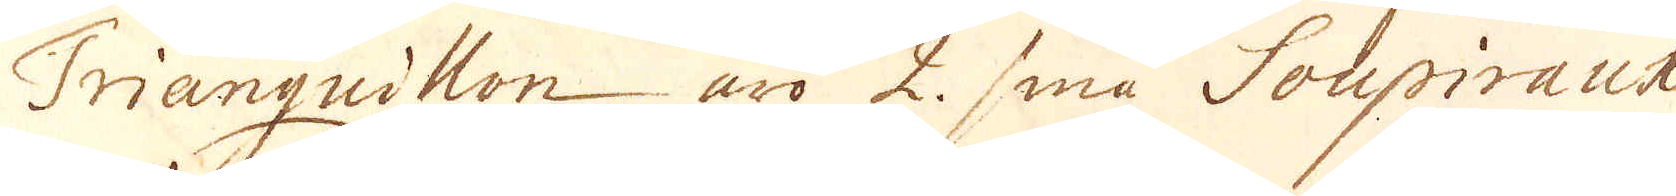Trianguillon äro 2. små Soupiraux
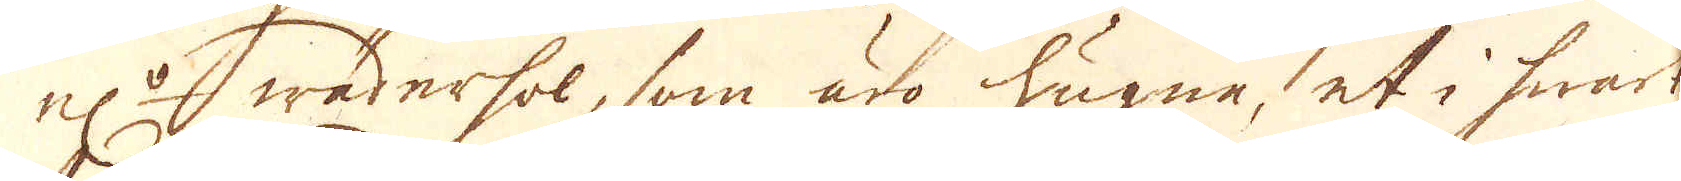el:r wäderhol, som äro hugne, et i swart
